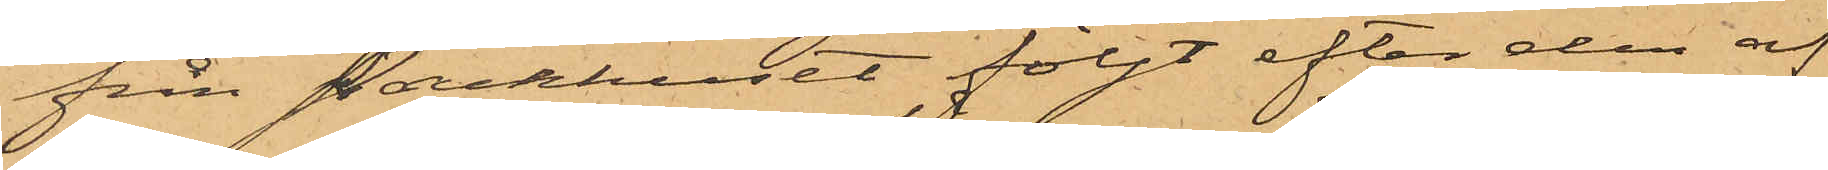från Packhuset följt efter den af
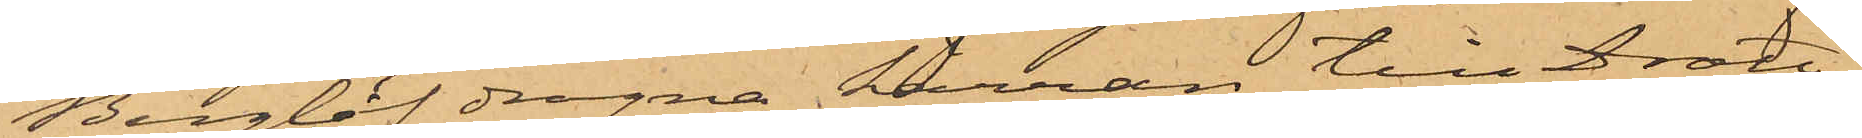Berglöf dragna kärran till Drott¬
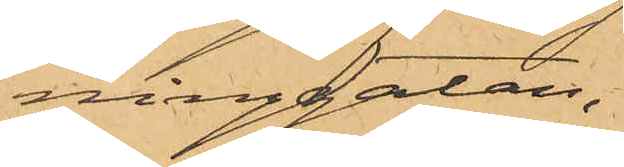ninggatan,
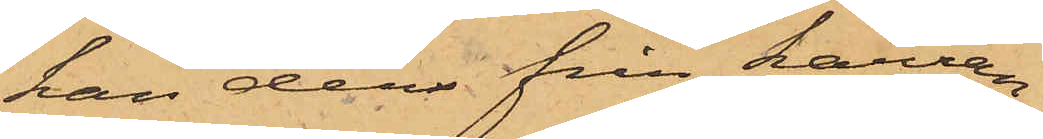han der från kärran
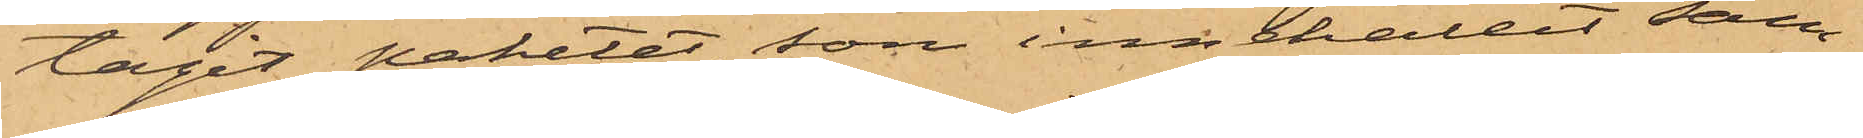tagit paketet, som innehållit sam¬
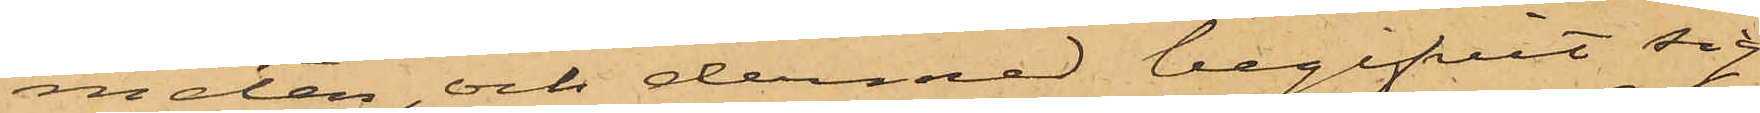meten, och dermed begifvit sig
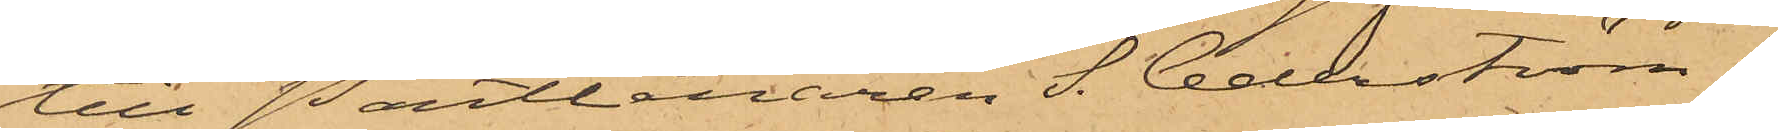till Pantlånaren S. Cederström i
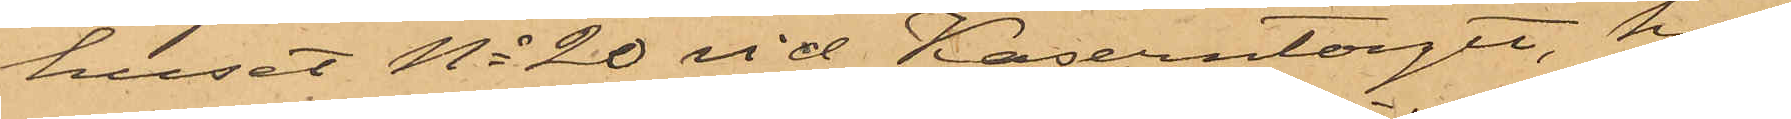huset No 20 vid Kaserntorget, hos
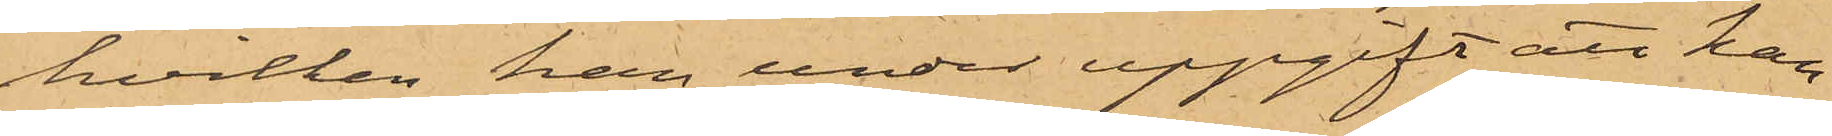hvilken han, under uppgift att han
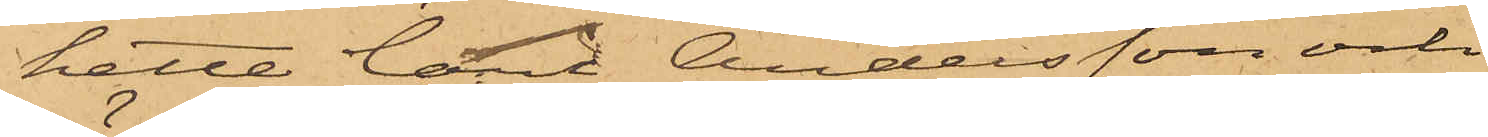hette Carl Andersson och
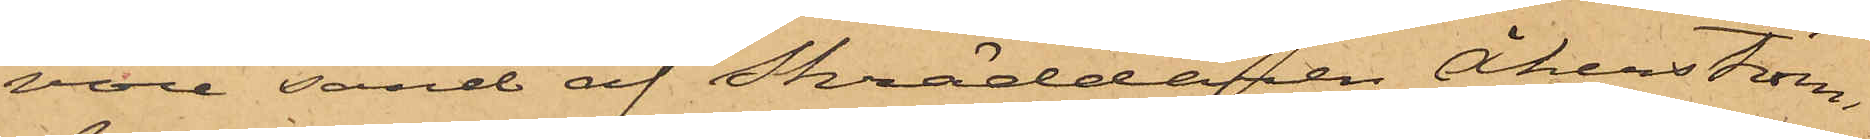vore sänd af Skräddaren Åkerström,
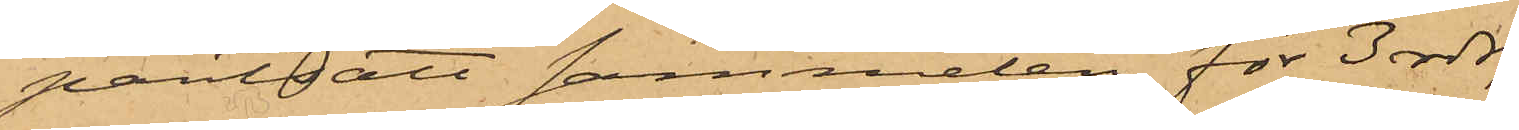pantsatt sammeten för 3 rdr,
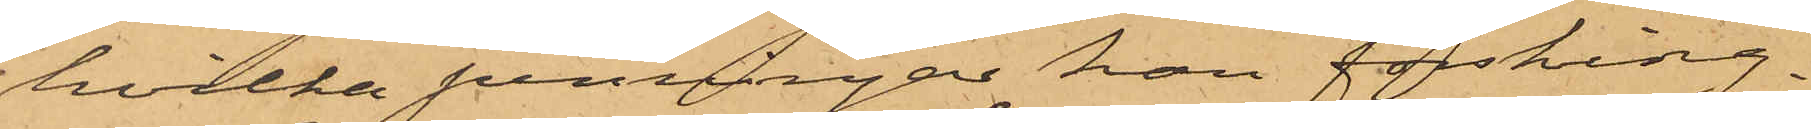hvilka penningar han försking¬
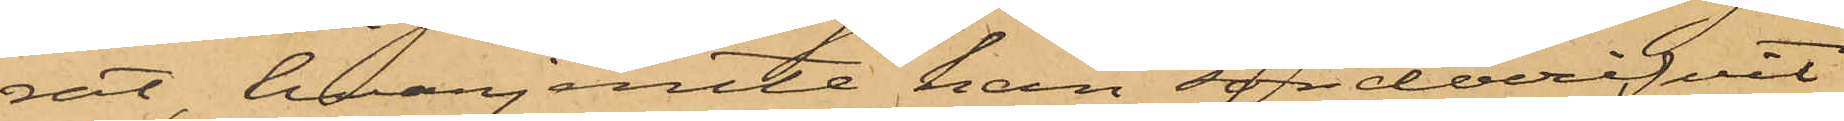rat, hvarjemte han sönderrifvit
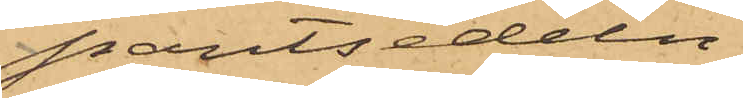pantsedeln.
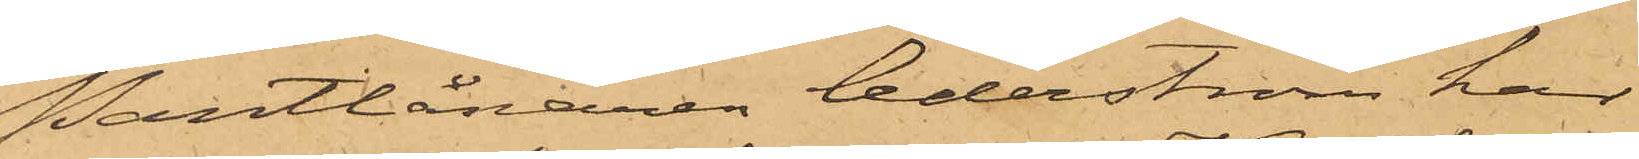Pantlånaren Cederström har
